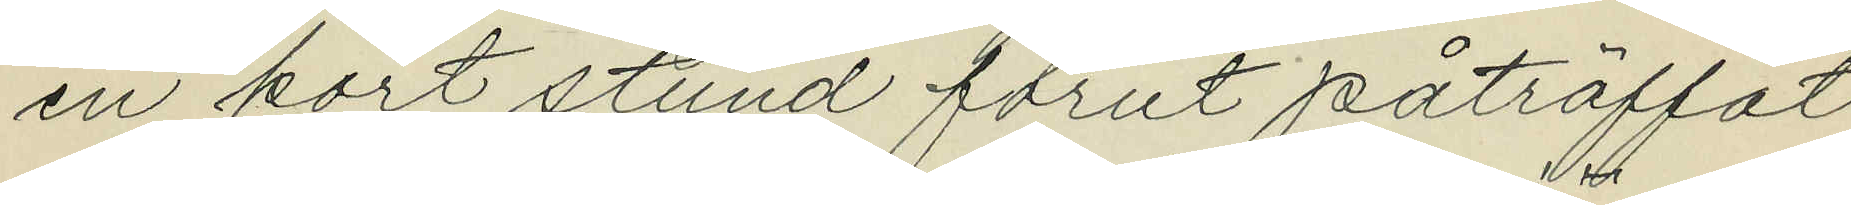en kort stund förut påträffat
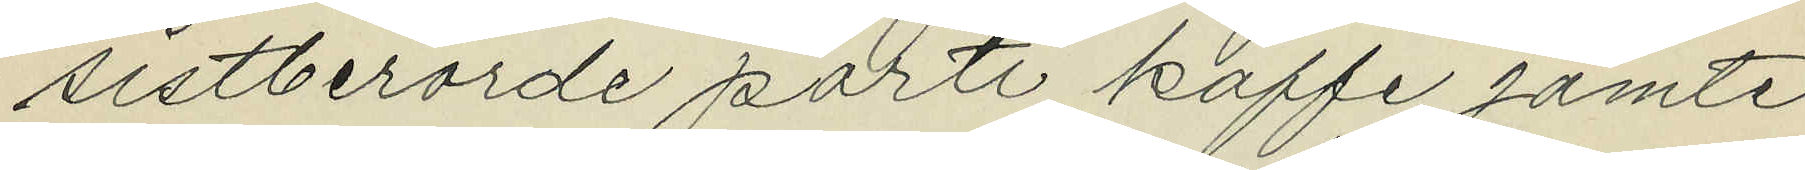sistberörde parti kaffe jämte
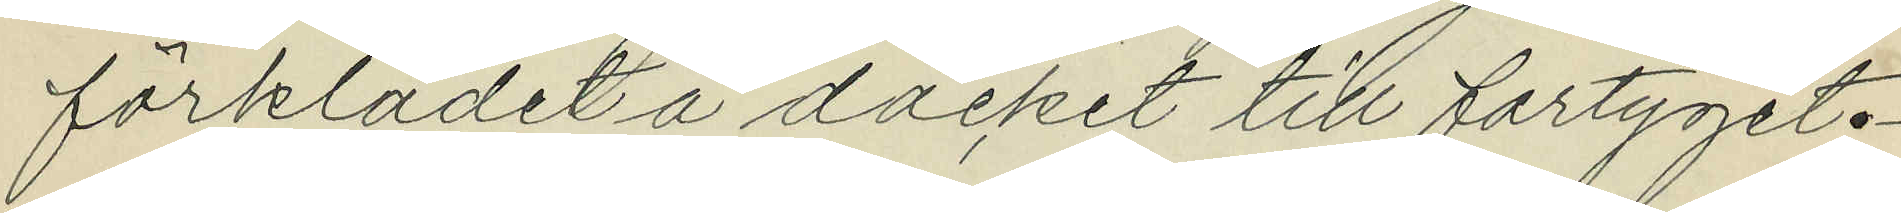förklädet å däcket till fartyget.
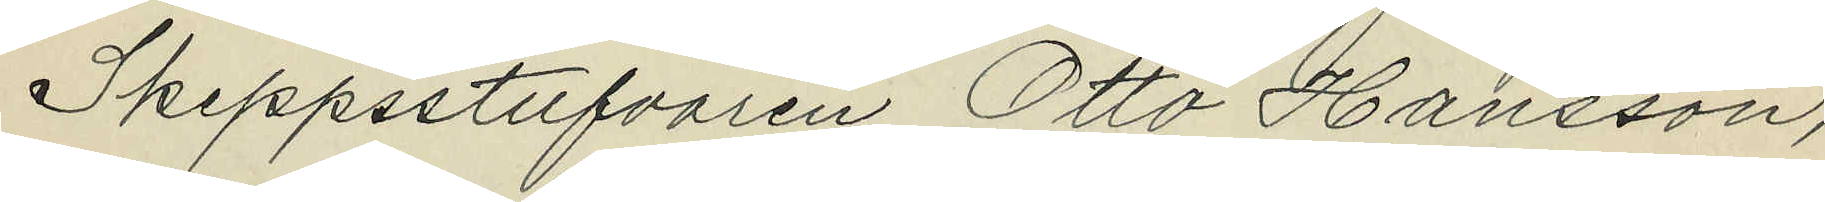Skeppsstufvaren Otto Hansson,
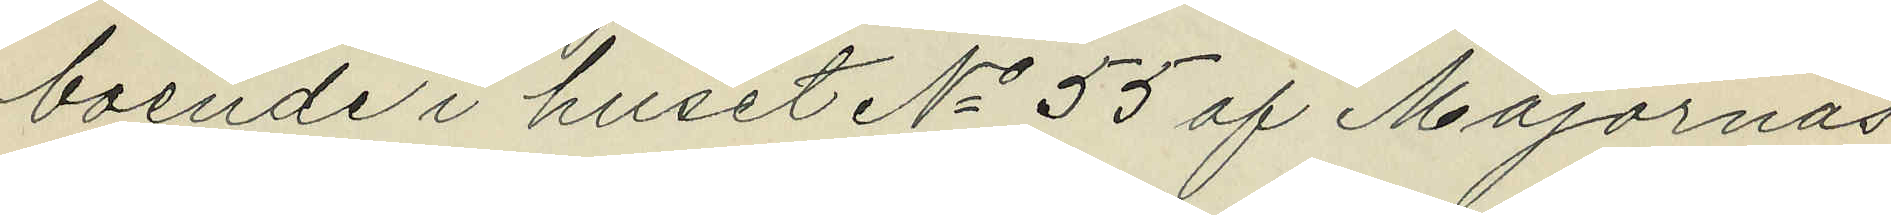boende i huset No 55 af Majornas
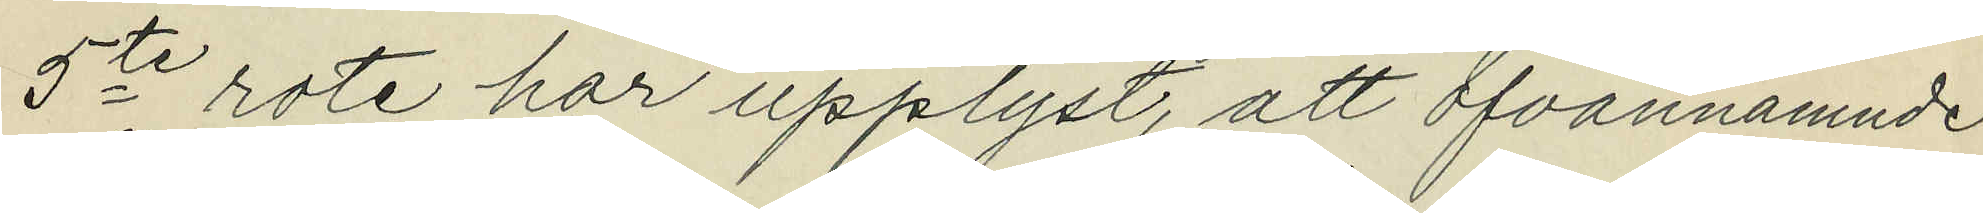5te rote har upplyst, att ofvannämnde
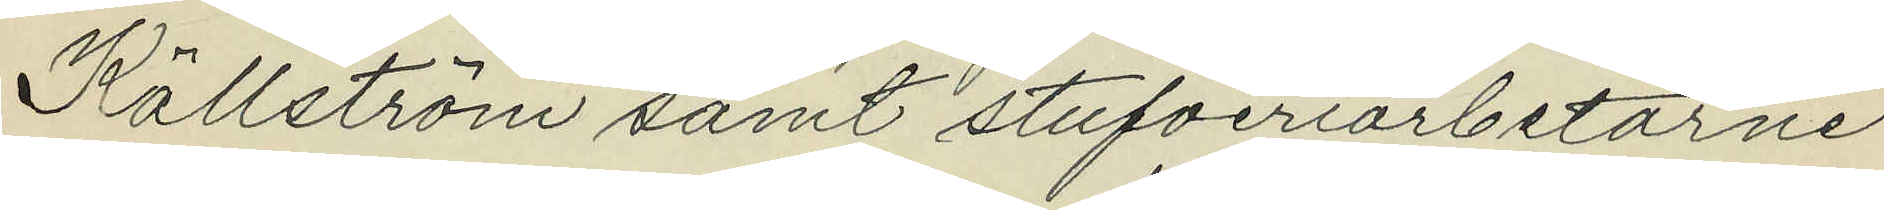Källström samt stufveriarbetarne
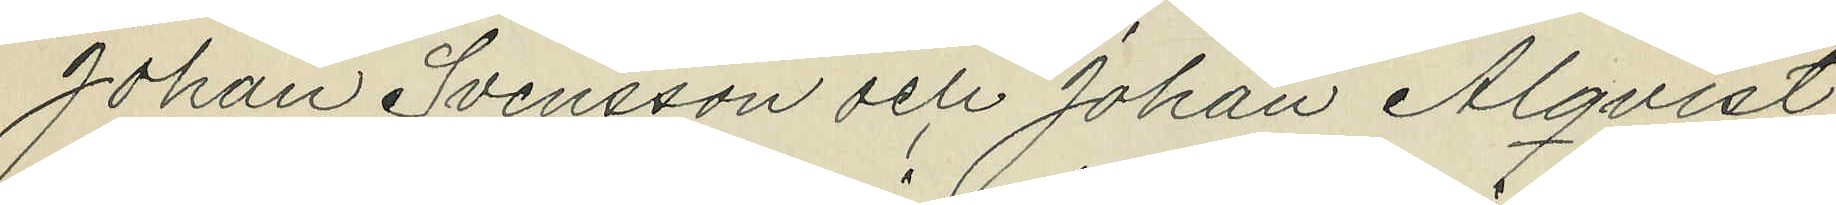Johan Svensson och Johan Alqvist
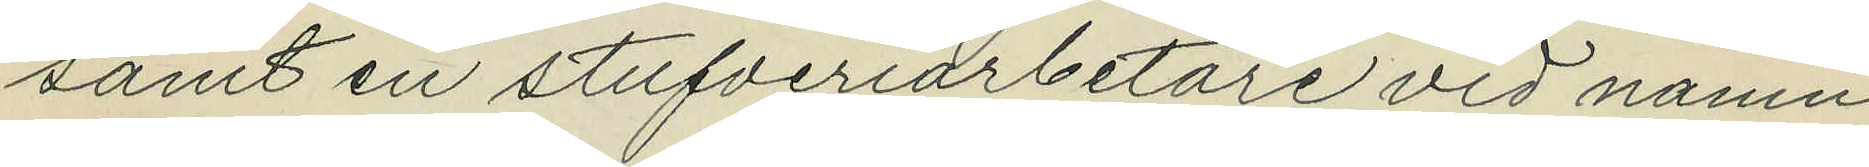samt en stufveriarbetare vid namn
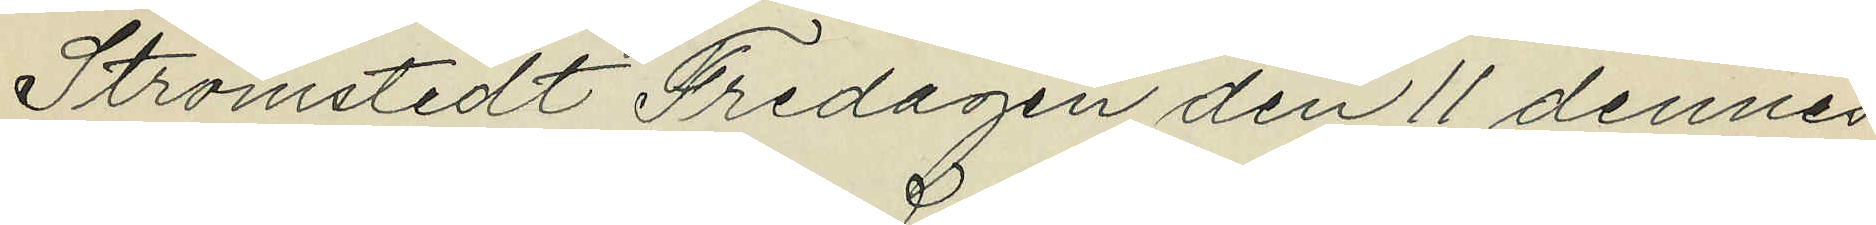Strömstedt Fredagen den 11 dennes
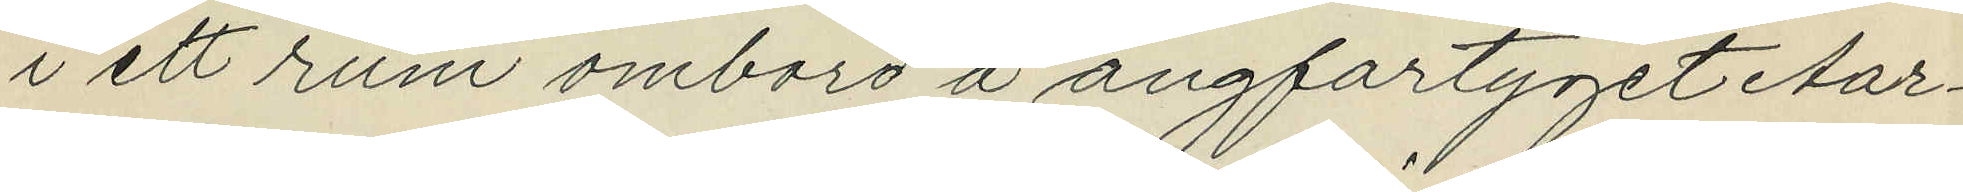i ett rum ombord å ångfartyget Aar¬
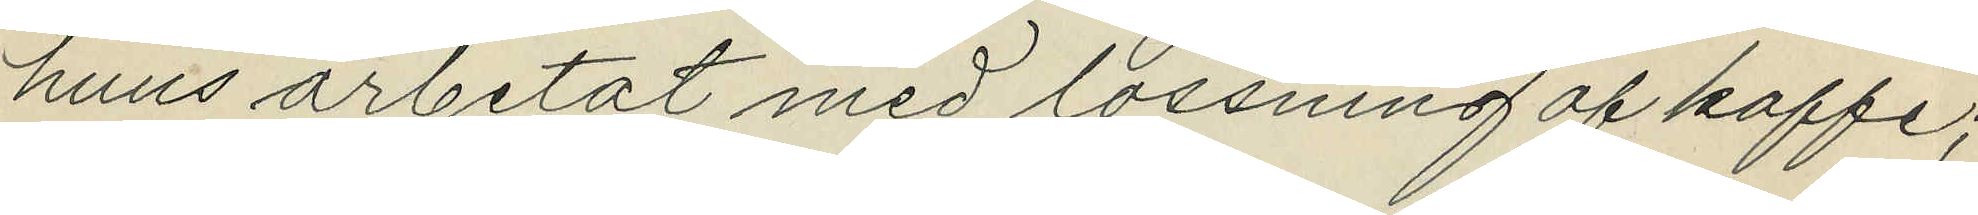huus arbetat med lossning af kaffe;
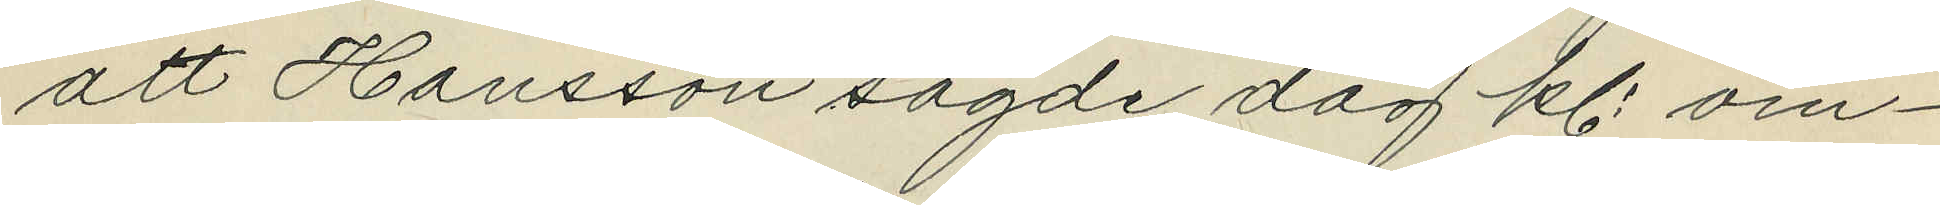att Hansson sagde dag kl. om¬
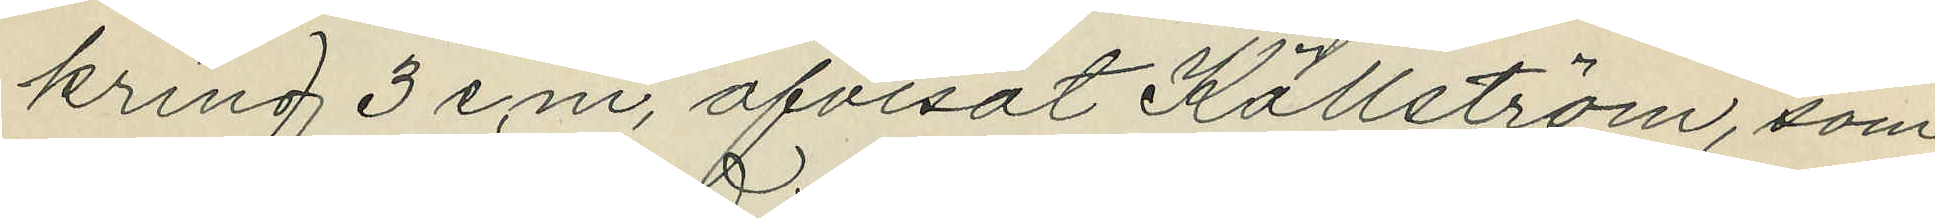kring 3 e.m. afvisat Källström, som
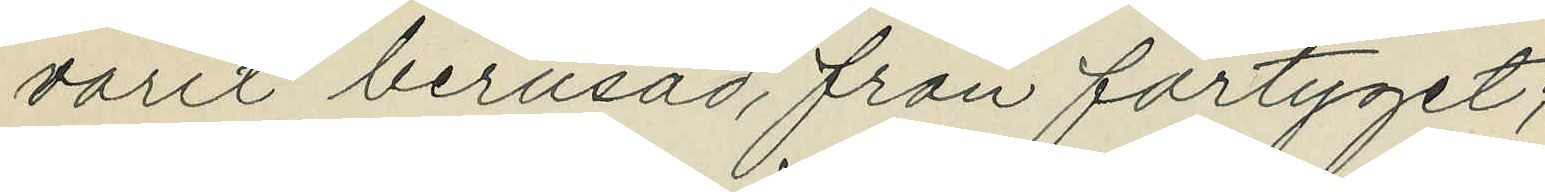varit berusad, från fartyget;
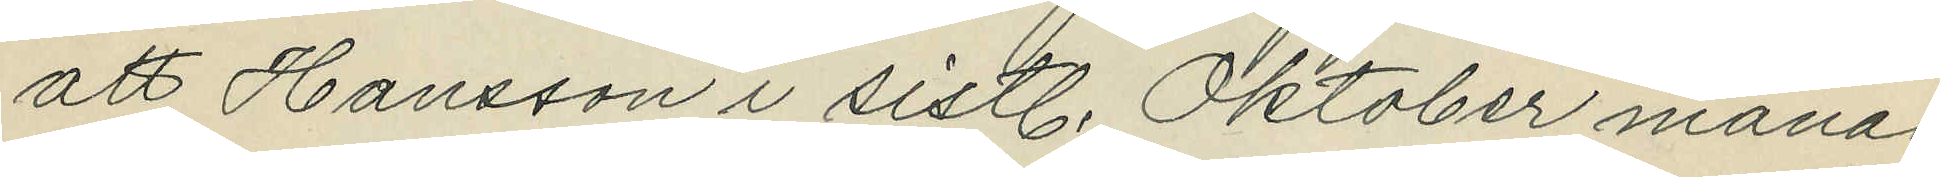att Hansson i sistl. Oktober månad
